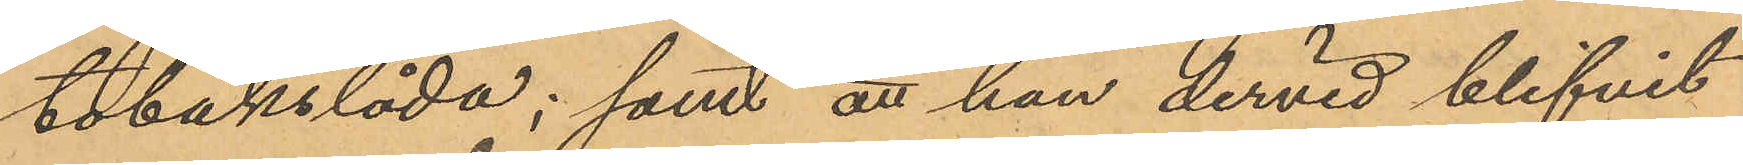tobakslåda; samt att han dervid blifvit
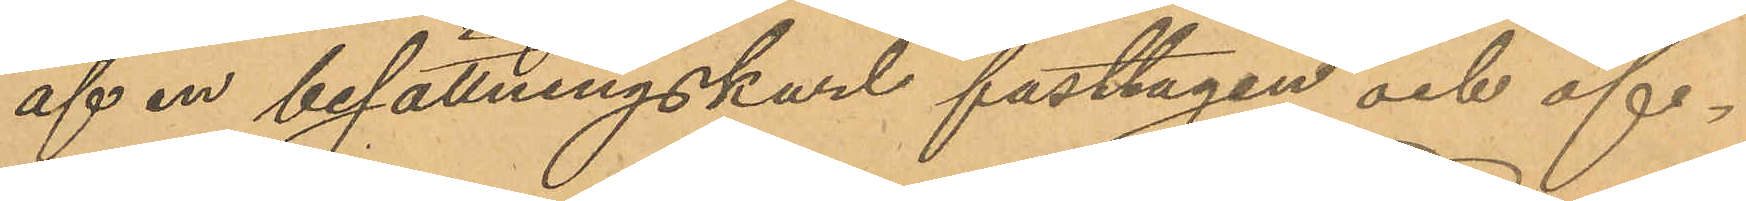af en besättningskarl fasttagen och öf¬
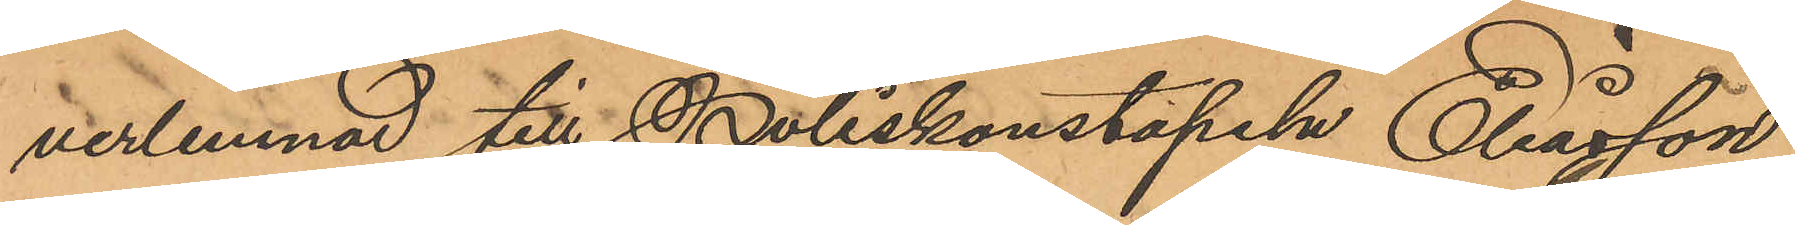verlemnad till Poliskonstapeln Eliasson.
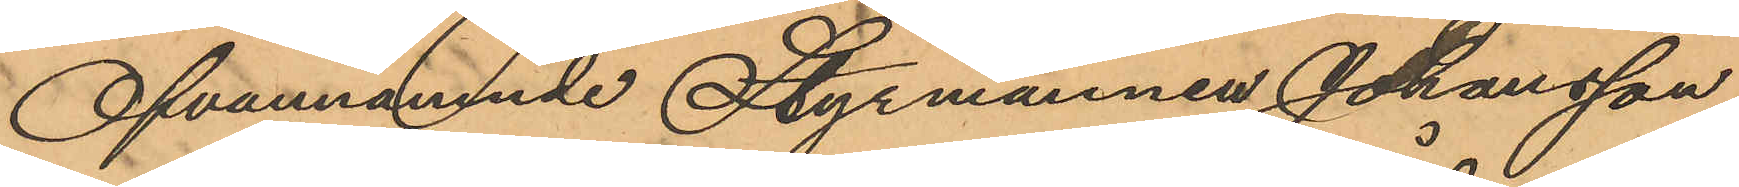Ofvannämnde Styrmannen Johansson
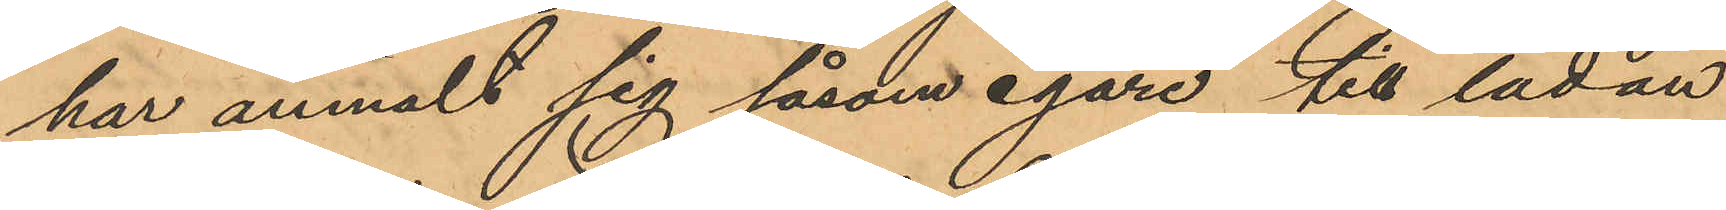har anmält sig såsom egare till lådan
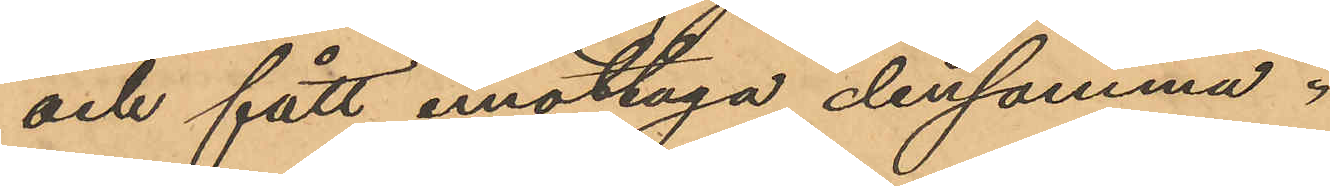och fått emottaga densamma.
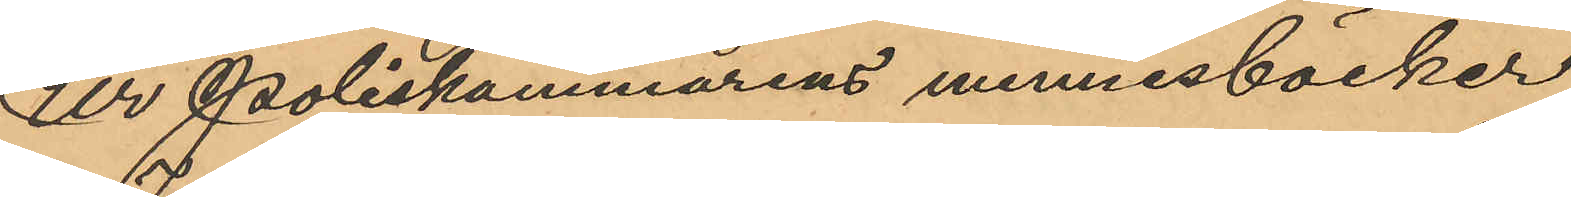Ur Poliskammarens minnesböcker
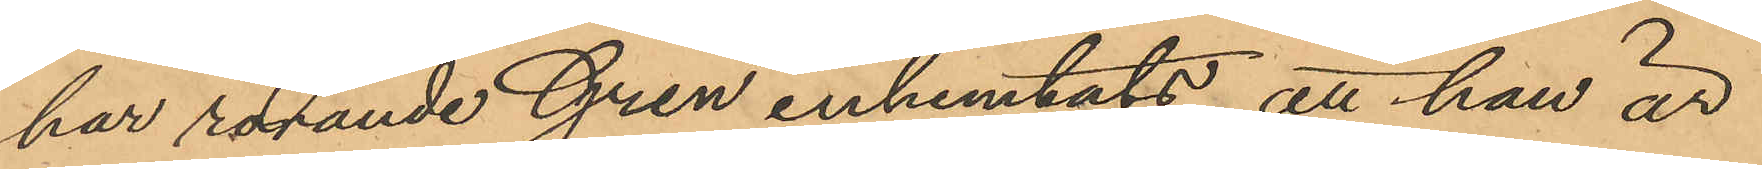har rörande Gren inhemtats, att han är
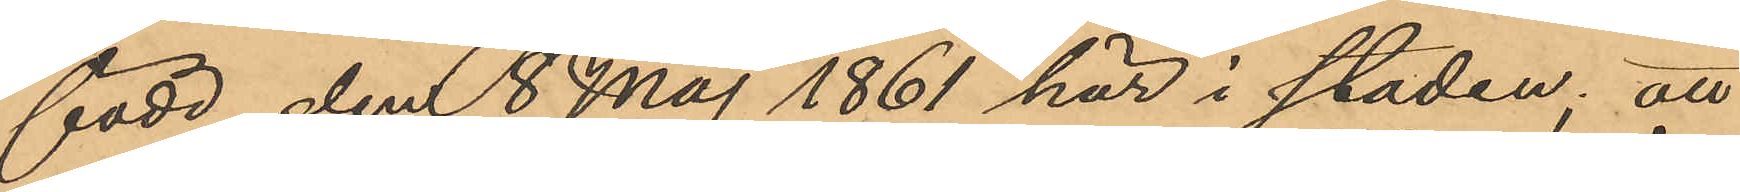född den 8 Maj 1861 här i staden; att
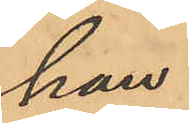han
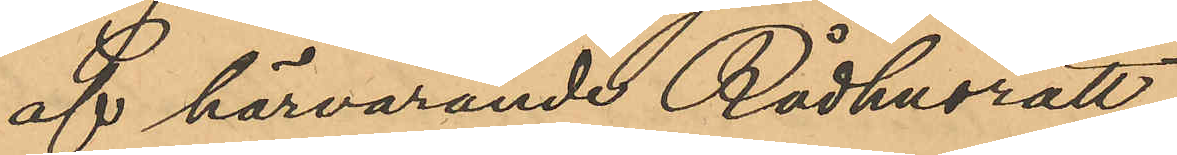af härvarande Rådhusrätt 
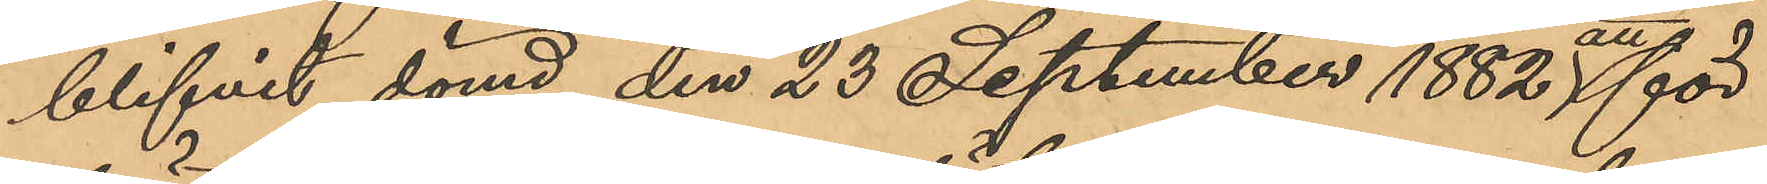blifvit dömd den 23 September 1882 att för
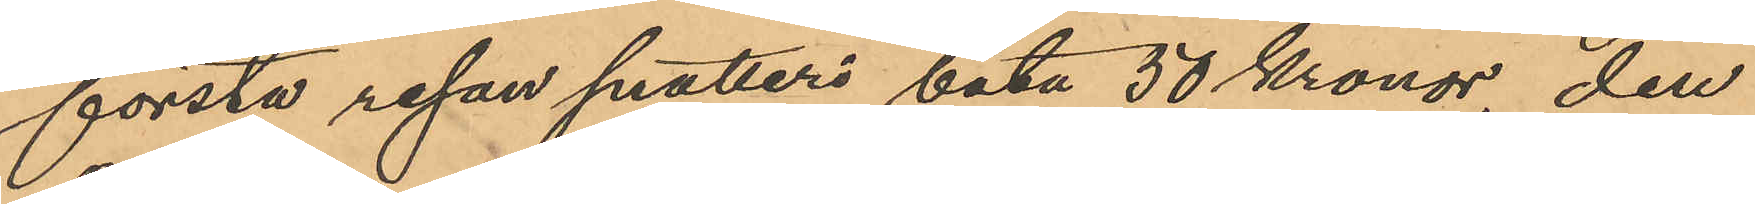första resan snatteri böta 50 Kronor, den
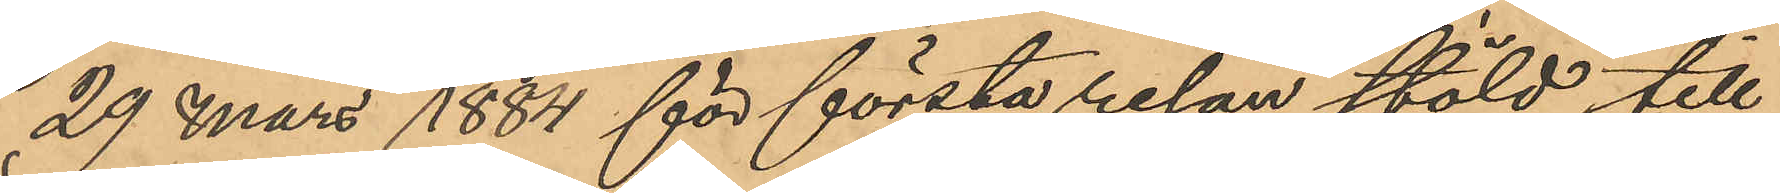29 Mars 1884 för första resan stöld till
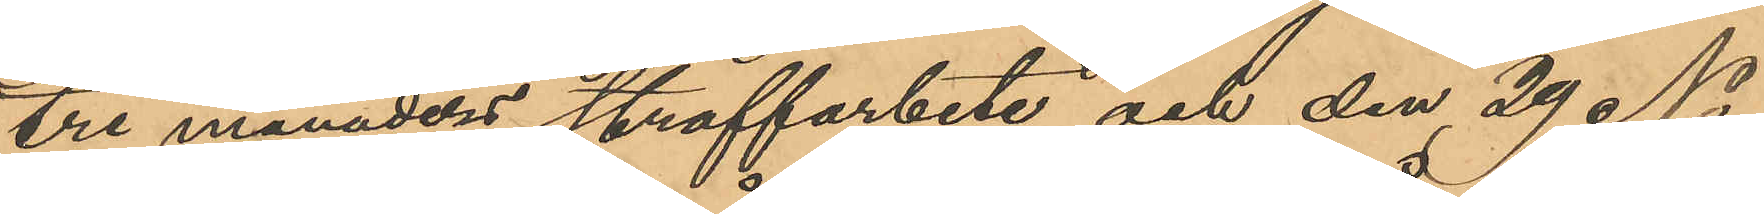tre månaders straffarbete och den 29 No¬
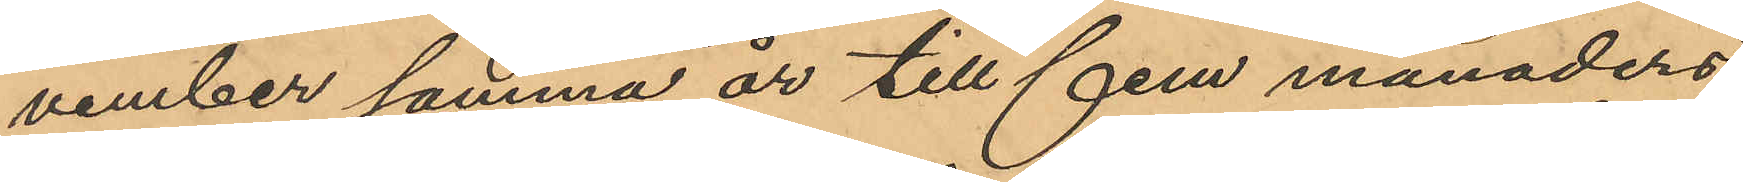vember samma år till fem månaders
